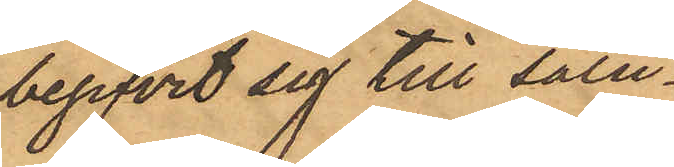begifvit sig till salu¬
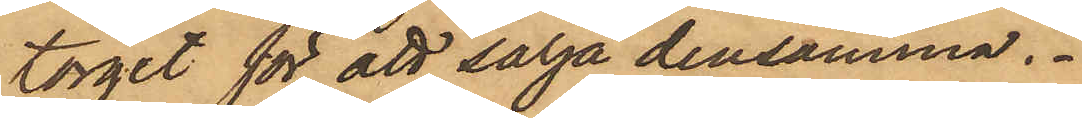torget för att sälja densamma.
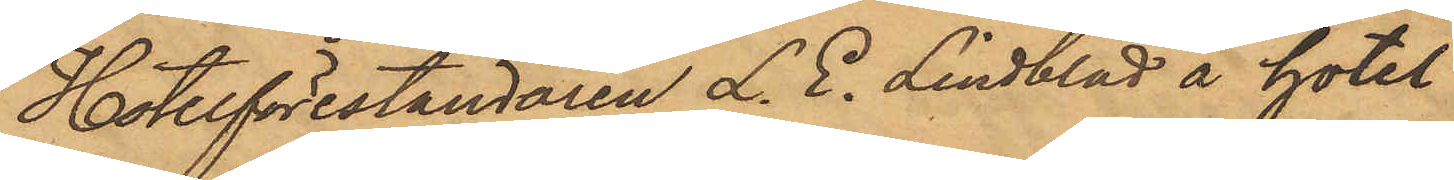Hotelföreståndaren L. E. Lindblad å hotel
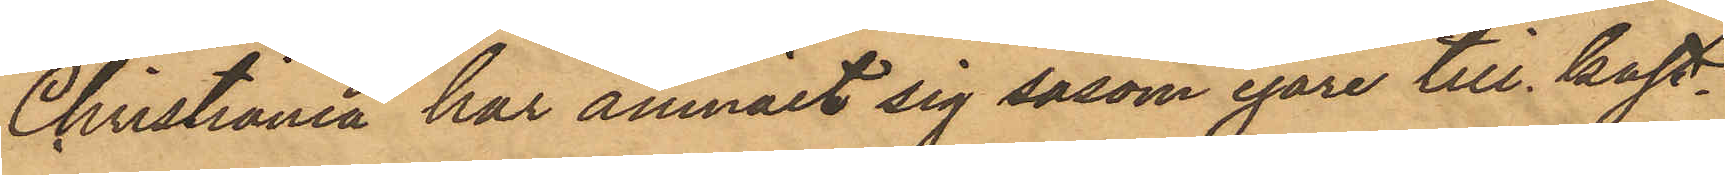Christiania har anmält sig såsom egare till kast¬
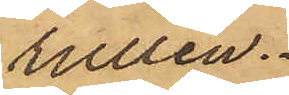rullen.
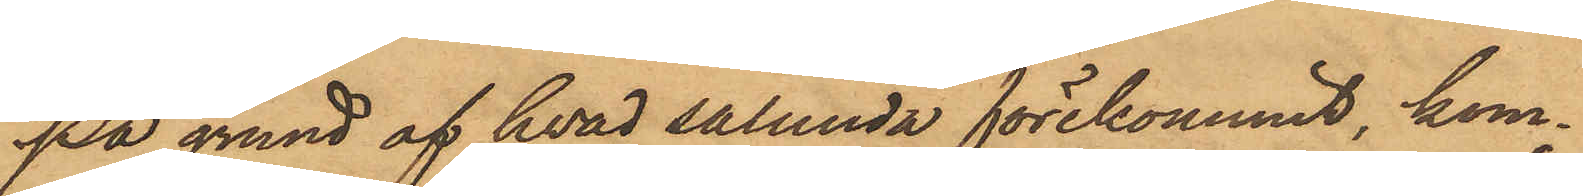På grund af hvad sålunda förekommit, kom¬
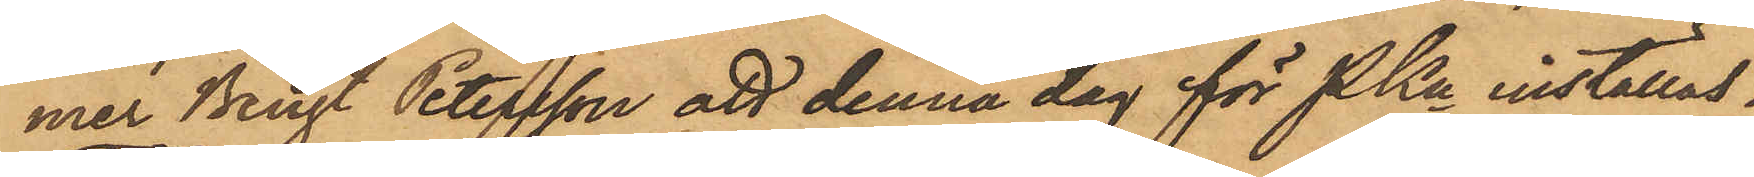mer Bengt Petersson att denna dag för PKn inställas.
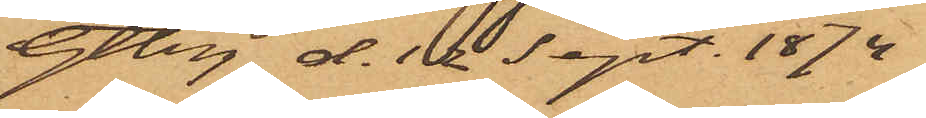Gtbg d. 12 Sept. 1874
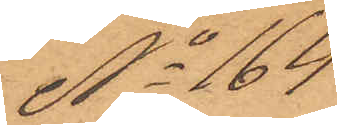No 164
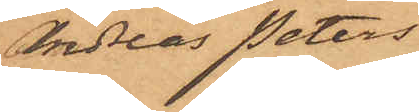Andreas Peters¬
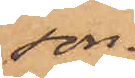son.
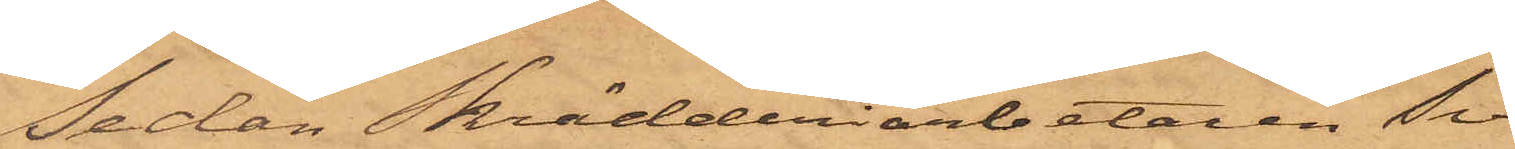Sedan Skrädderiarbetaren Sven
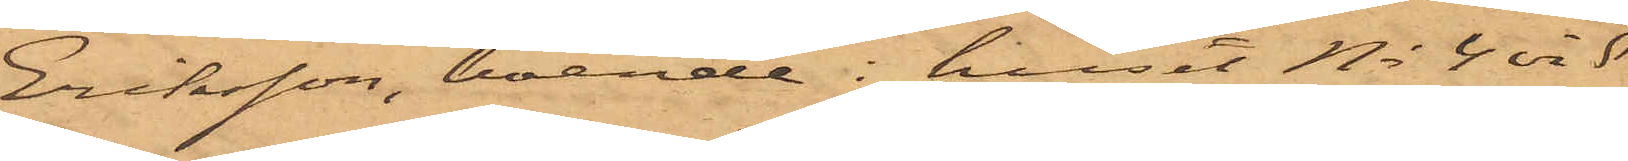Eriksson, boende i huset No 4 vid
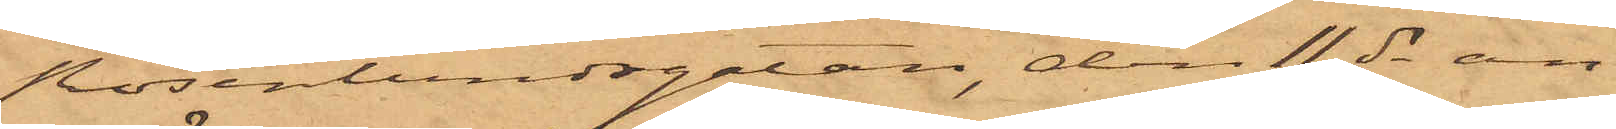Rosenlundsgatan, den 11 ds an¬
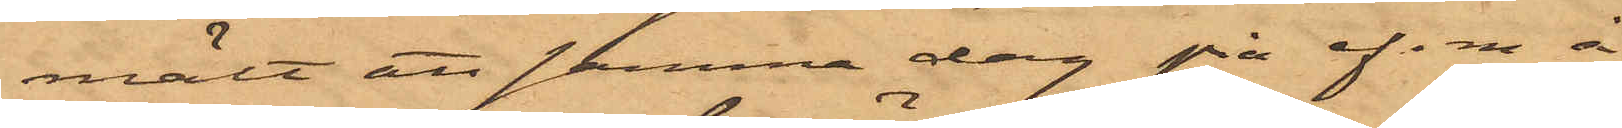mält att samma dag på ef.m å
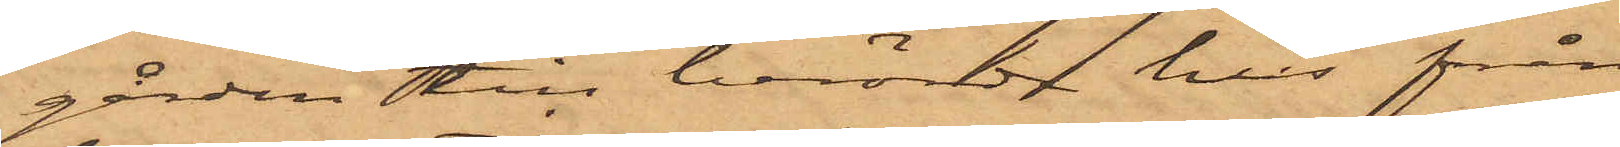gården till berörde hus från
